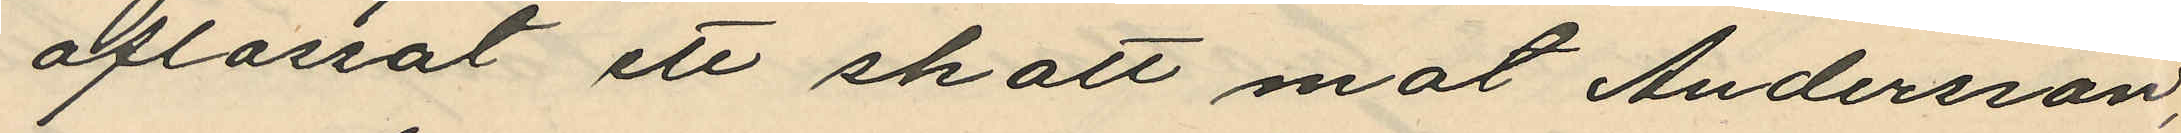aflossat ett skott mot Andersson,
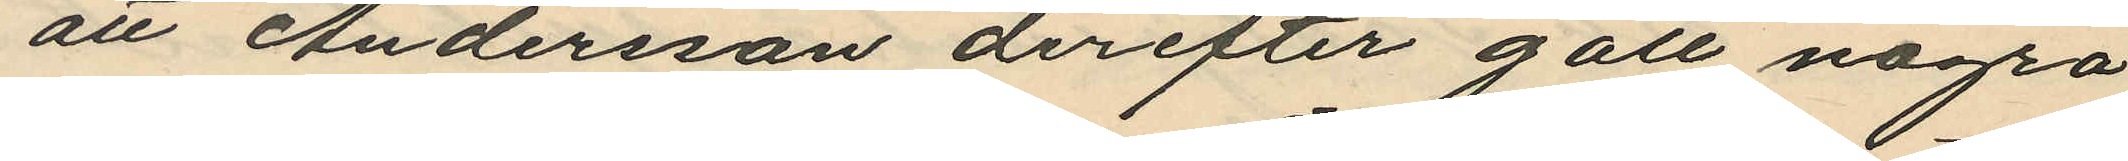att Andersson derefter gått några
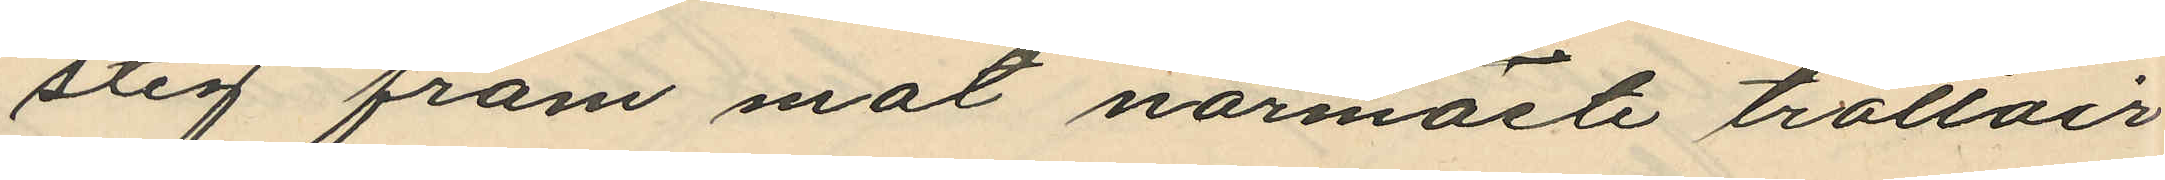steg fram mot närmaste trottoir
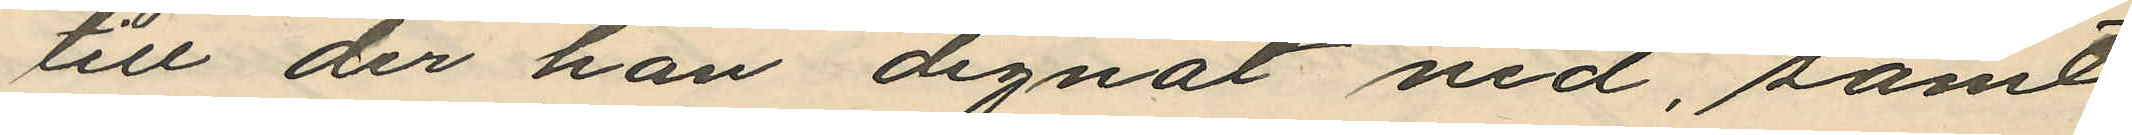till der han dignat ned, samt
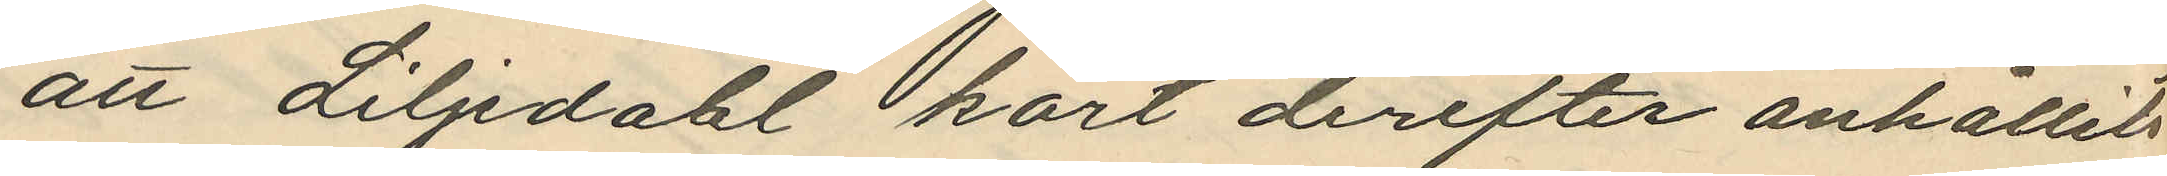att Liljedahl kort derefter anhållits
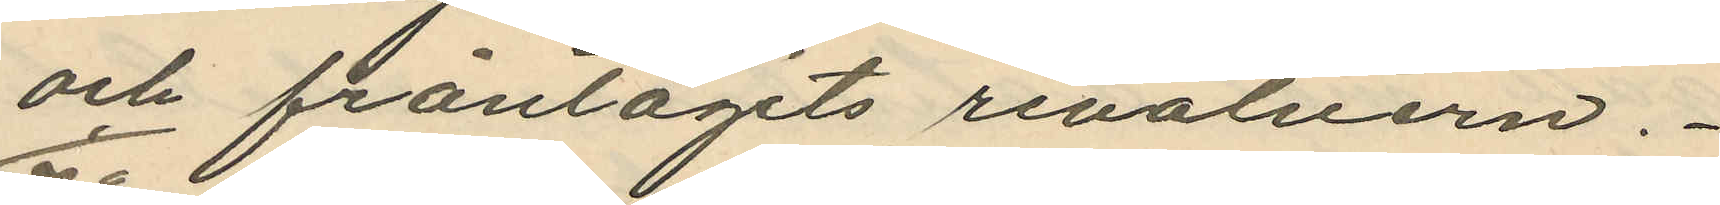och fråntagits revolvern.
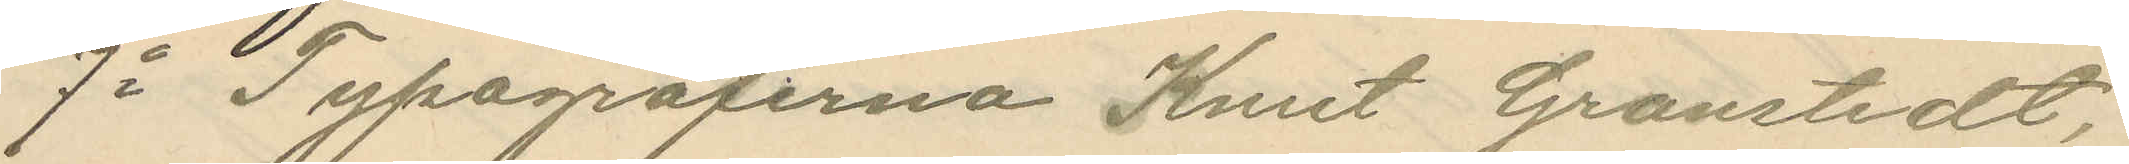7o Typograferna Knut Granstedt,
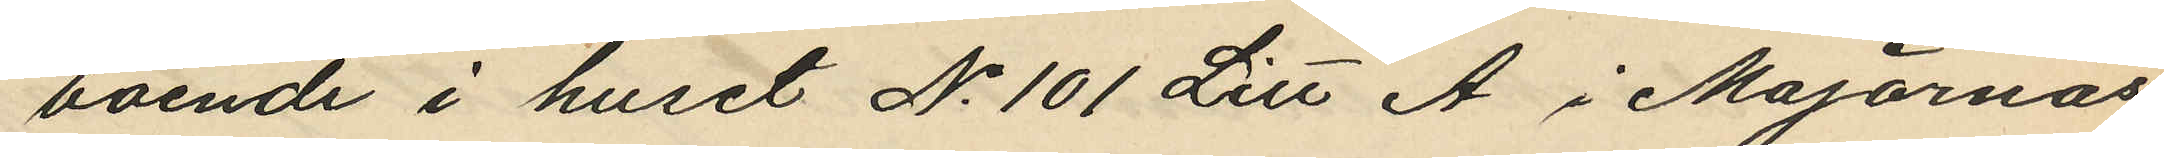boende i huset No 101 Litt A i Majornas
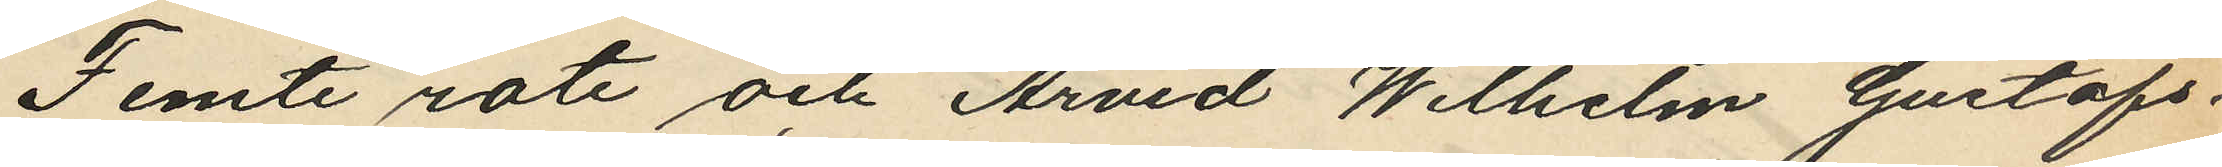Femte rote och Arvid Wilhelm Gustafs¬
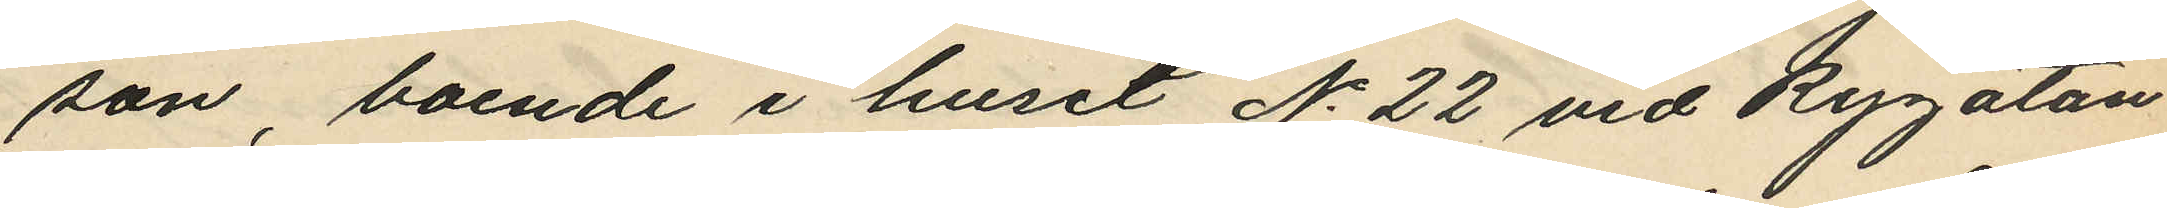son, boende i huset No 22 vid Rygatan
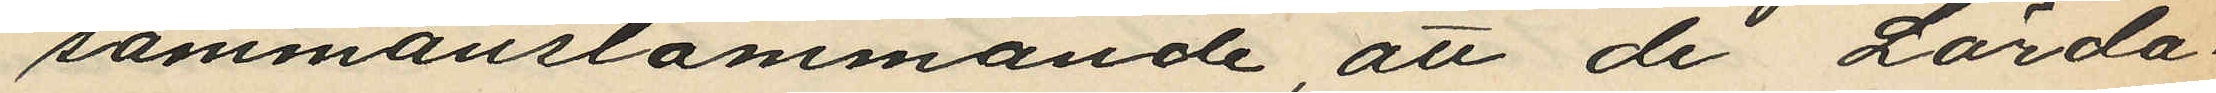sammanstämmande, att de Lörda¬
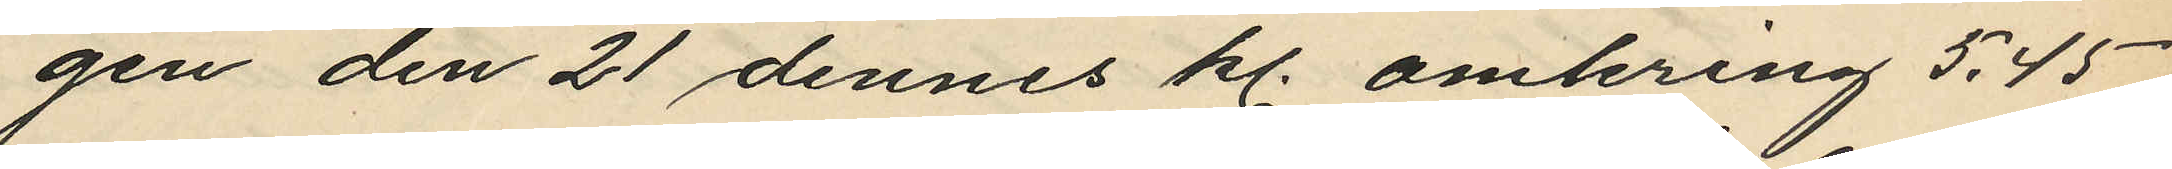gen den 21 dennes kl. omkring 5,45
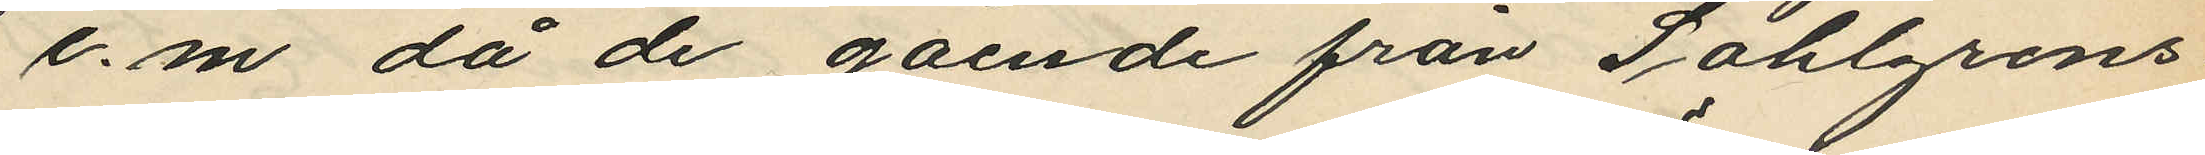e.m. då de gående från Sahlgrens
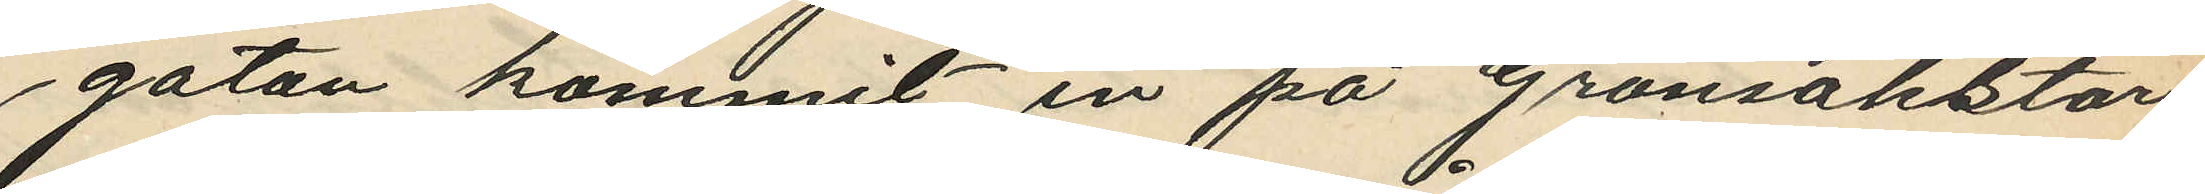gatan kommit in på Grönsakstor¬
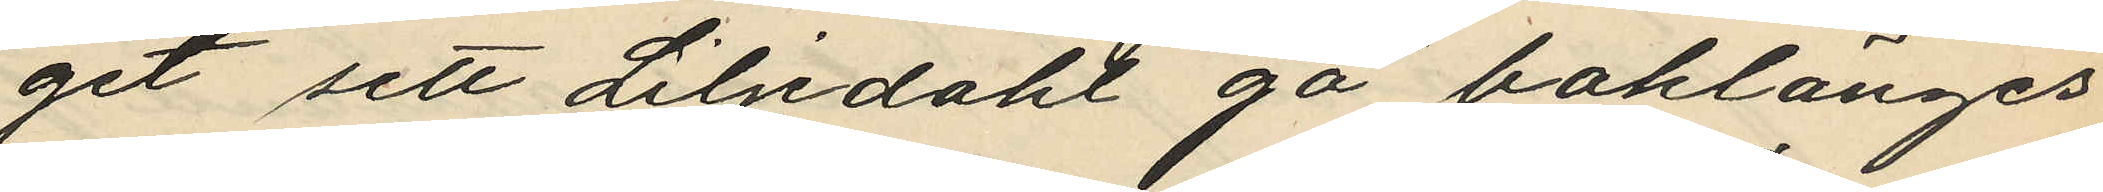get sett Liljedahl gå baklänges
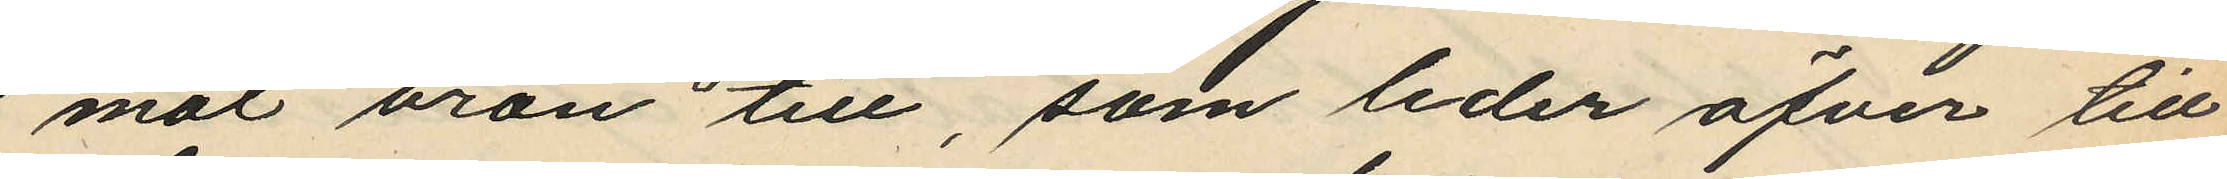mot bron till, som leder öfver till
